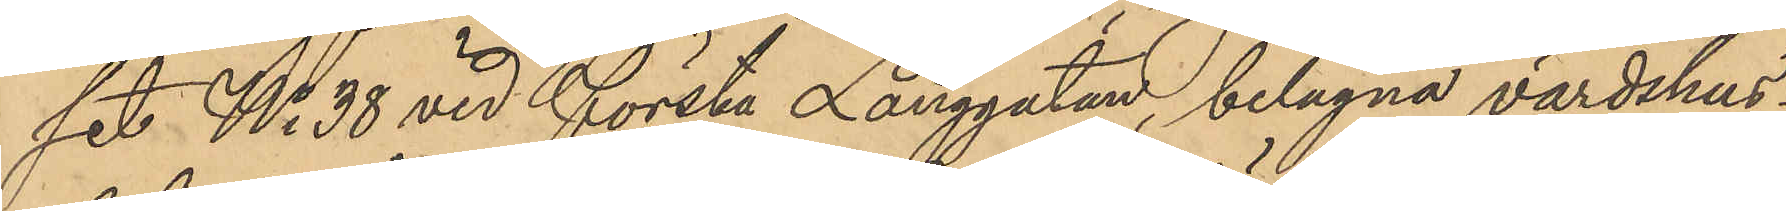set No 38 vid första Långgatan belägna värdshus¬
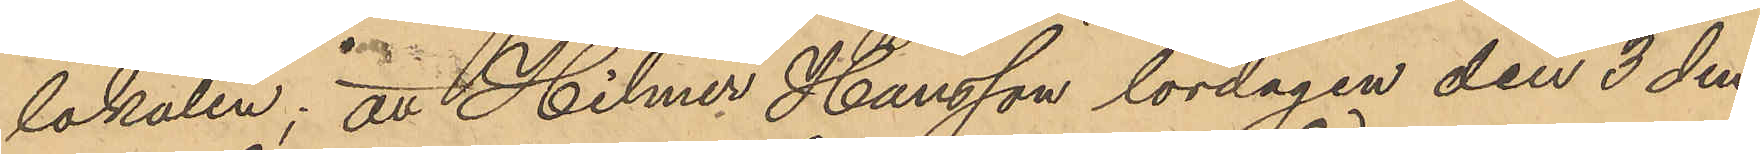lokalen; att Hilmer Hansson lördagen den 3 den¬
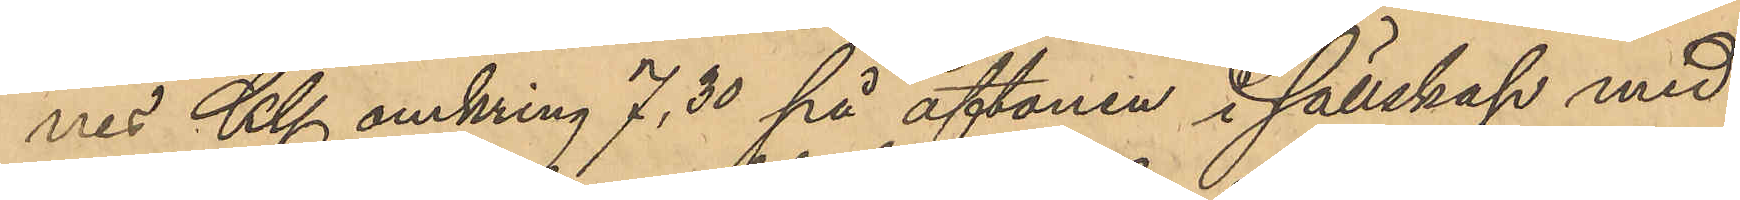nes Kl omkring 7,30 på aftonen i sällskap med
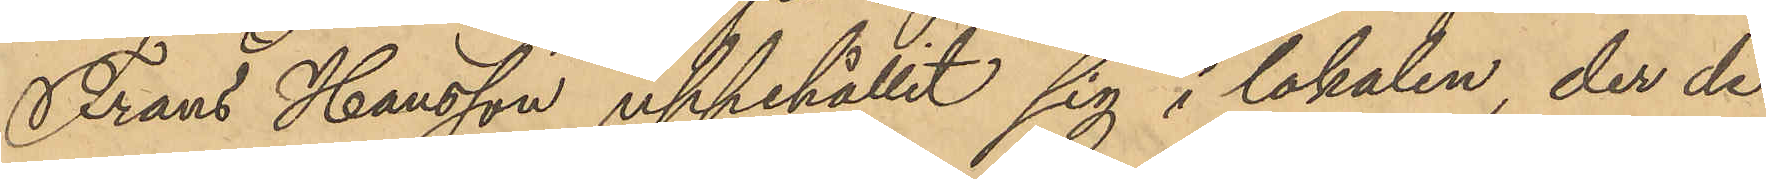Frans Hansson uppehållit sig i lokalen, der de
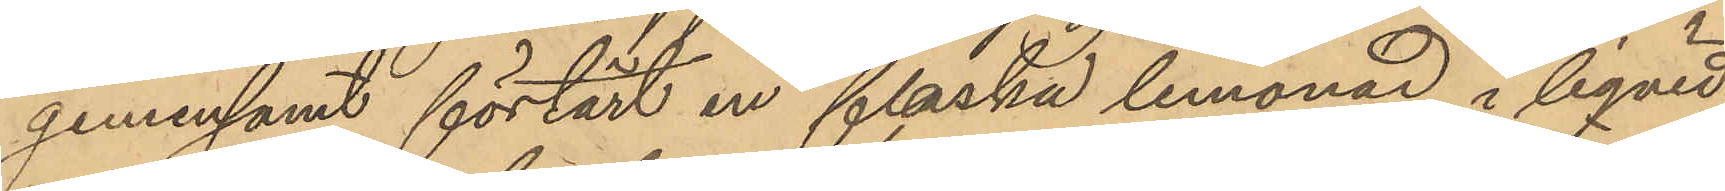gemensamt förtärt en flaska lemonad i liqvid
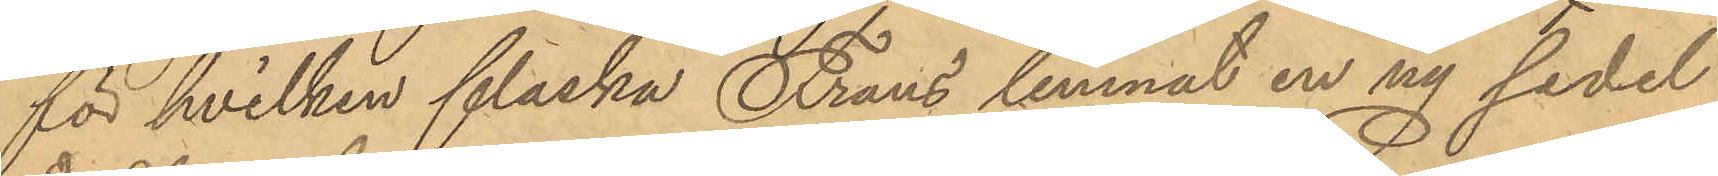för hvilken flaska Frans lemnat en ny sedel
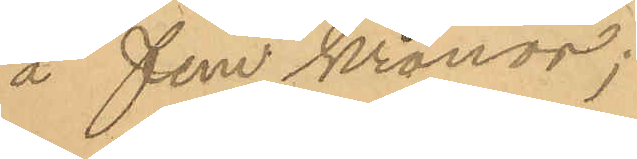å fem kronor;
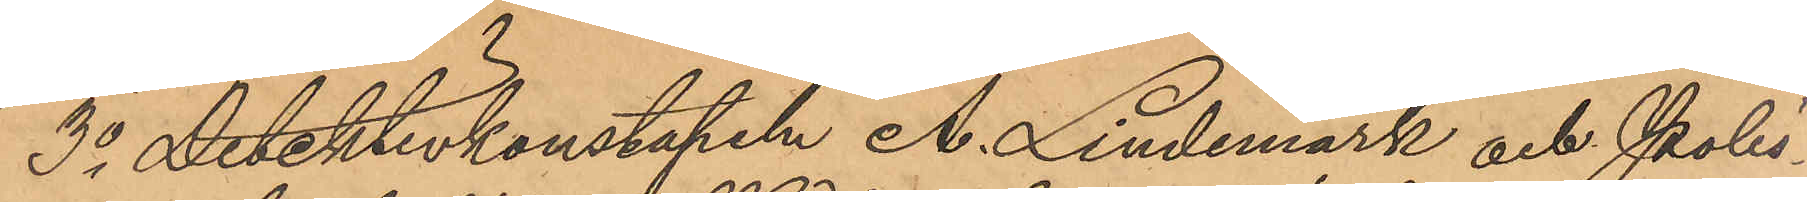3o Detektivkonstapeln A. Lindemark och Polis¬
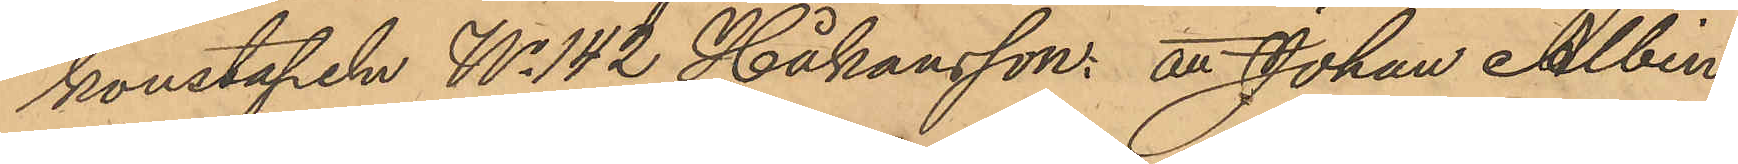konstapeln No 142 Håkansson, är Johan Albin
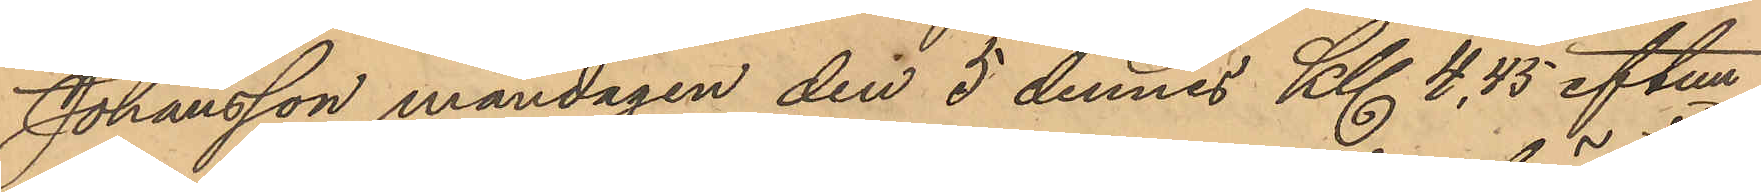Johansson måndagen den 5 dennes Kl 4,45 eftm 
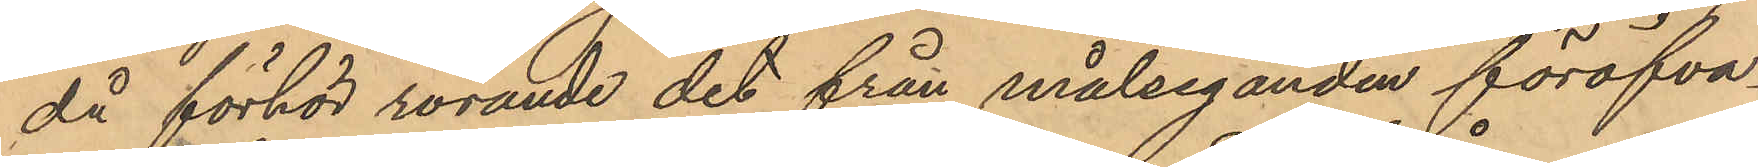då förhör rörande det från målseganden föröfva¬
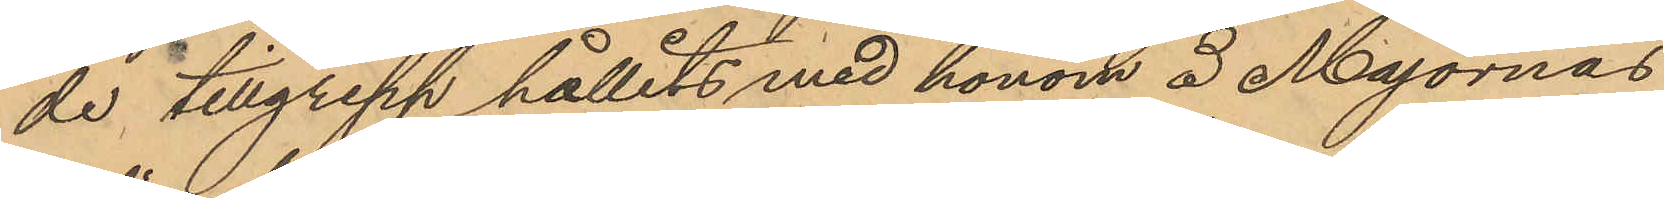de tillgrepp hållits med honom å Majornas
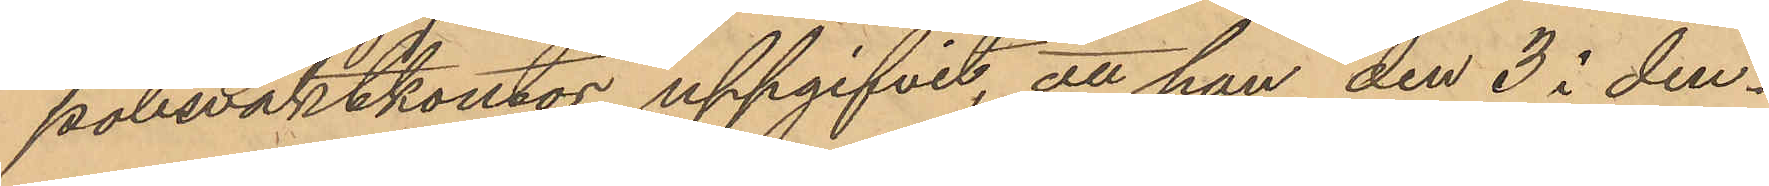polisvaktkontor uppgifvit, att han den 3 i den¬
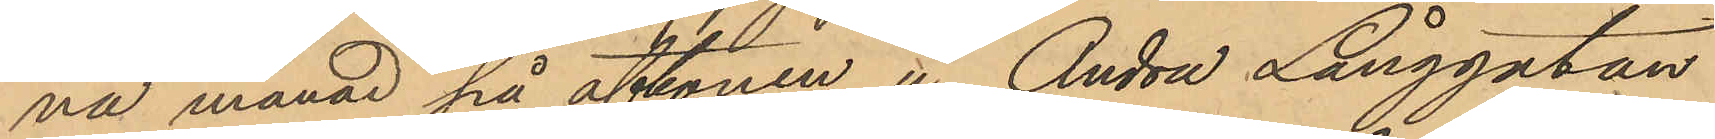na månad på aftonen å Andra Långgatan
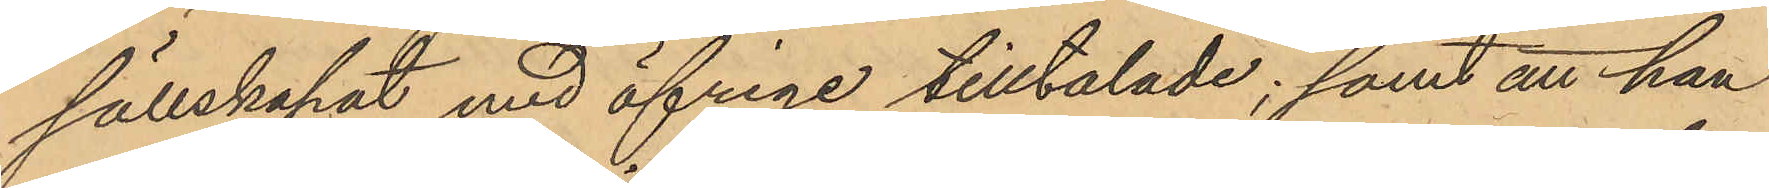sällskapat med öfriga tilltalade; samt att han
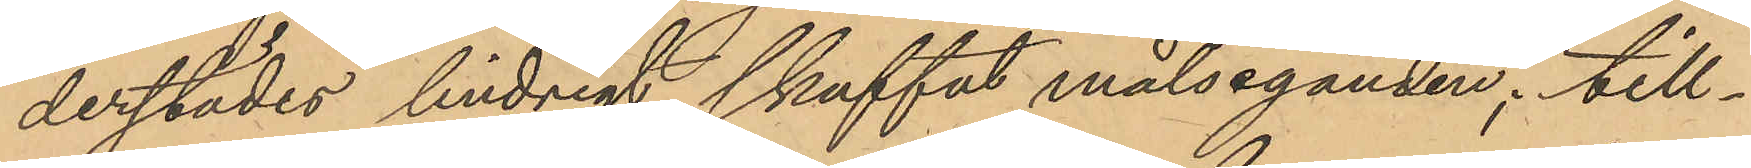derstädes lindrigt skuffat målseganden; till¬
